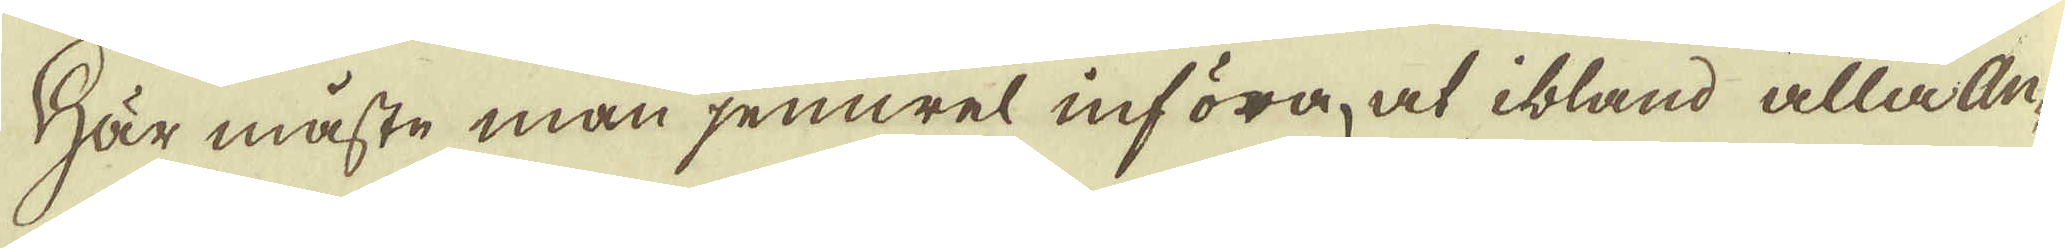Här måste man jemwel införa, at ibland alla An-
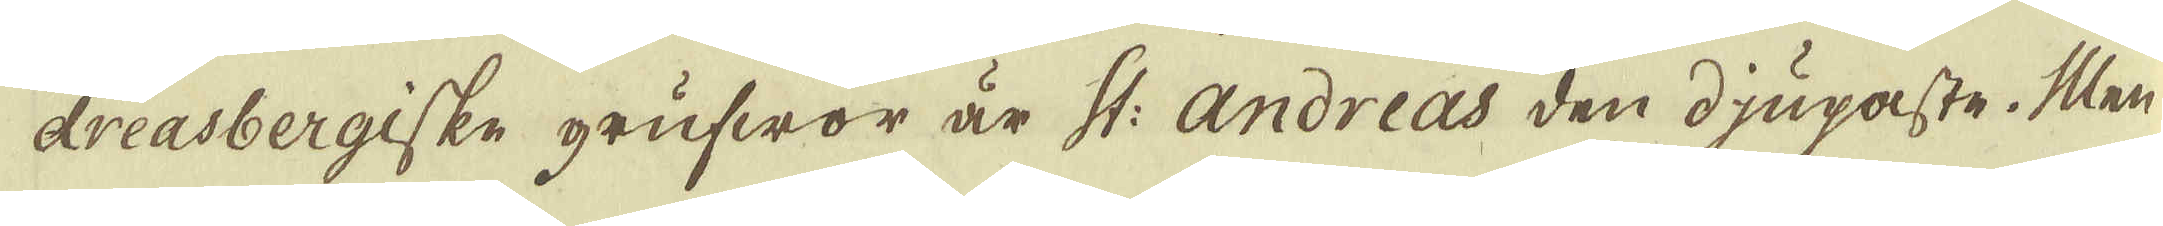dreasbergiske grufwor är St: Andreas den djupaste. Men
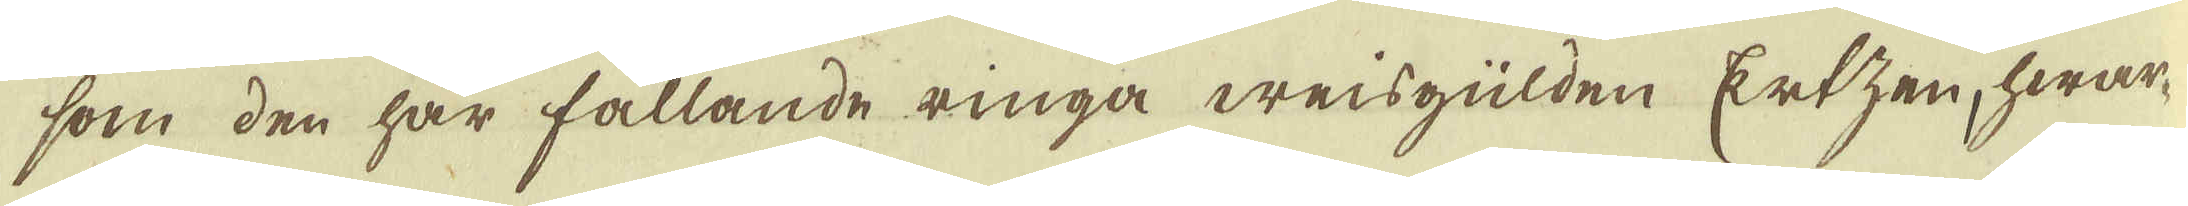som den här fallande ringa weisgülden Ertzen, hwar-
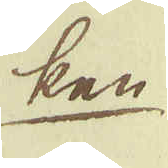ken
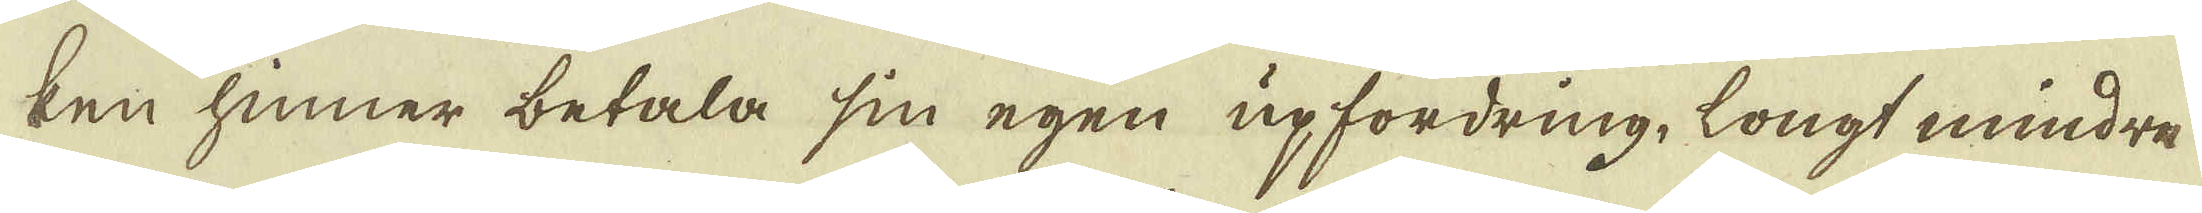ken hinner betala sin egen upfordring, longt mindre
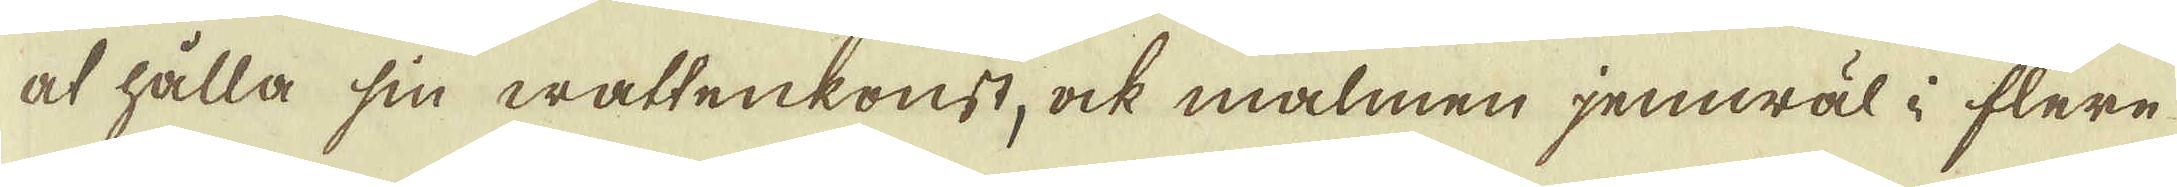at hålla sin wattenkonst, ock malmen jemwäl i flere
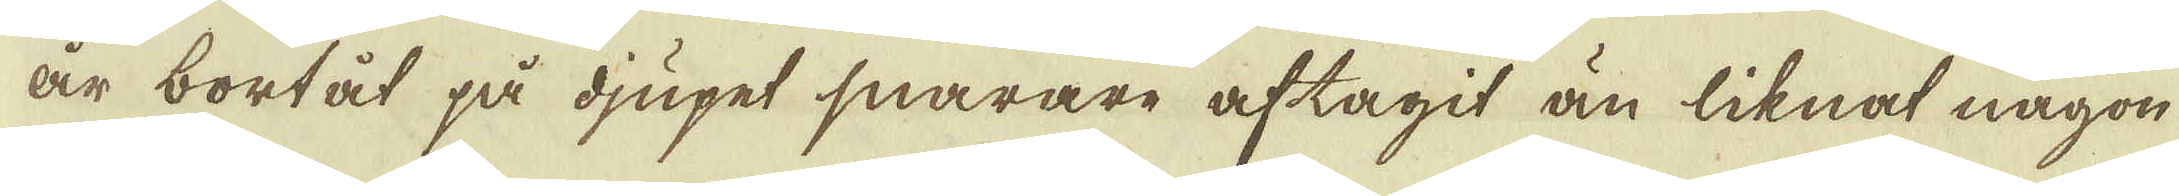år bortåt på djupet snarare aftagit än liknat någon
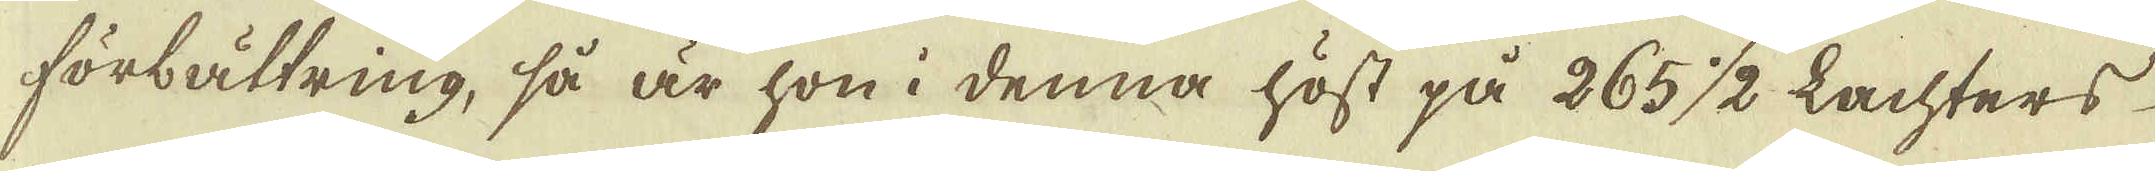förbättring, så är hon i denna höst på 265 1/2 Lachters
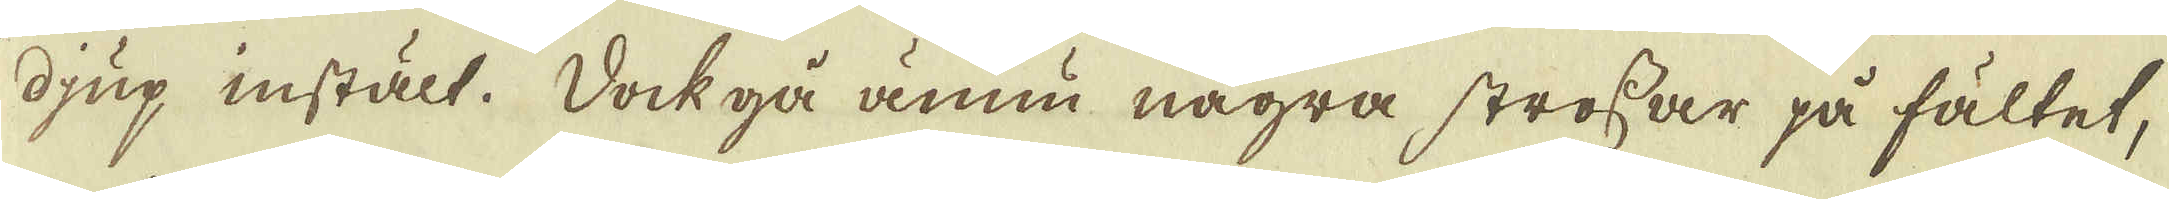djup instält. Dock gå ännu några strossar på fältet,
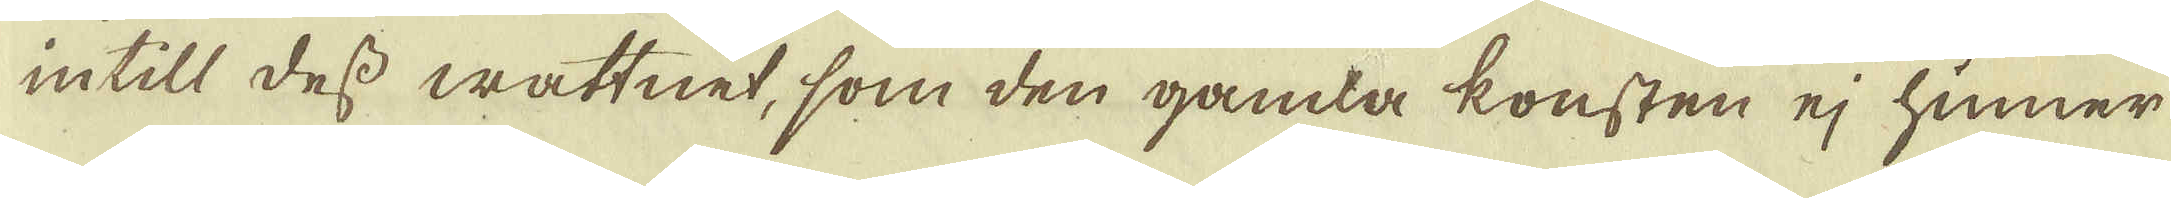intill dess wattnet, som den gamla konsten ej hinner
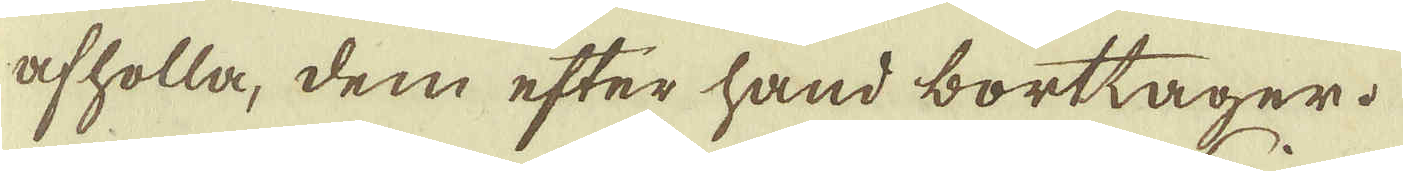afholla, dem efter hand borttager.
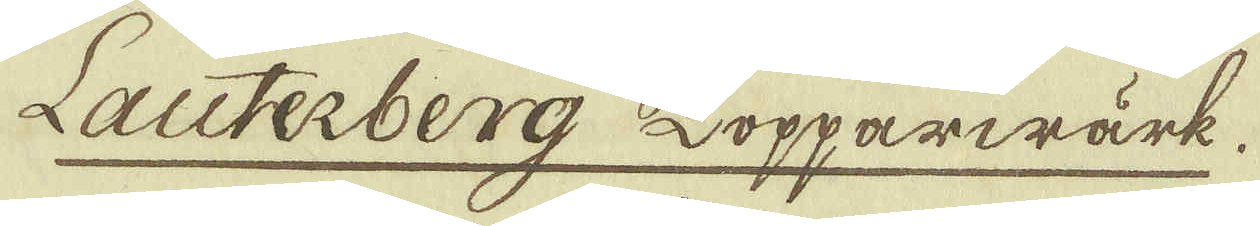Lauterberg Kopparwärk.
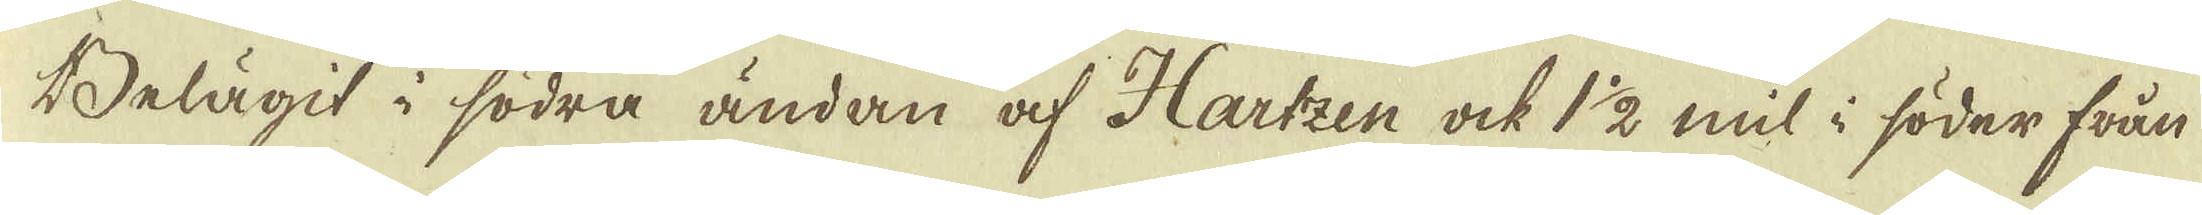Belägit i södra ändan af Hartzen ock 1 1/2 mil i söder från
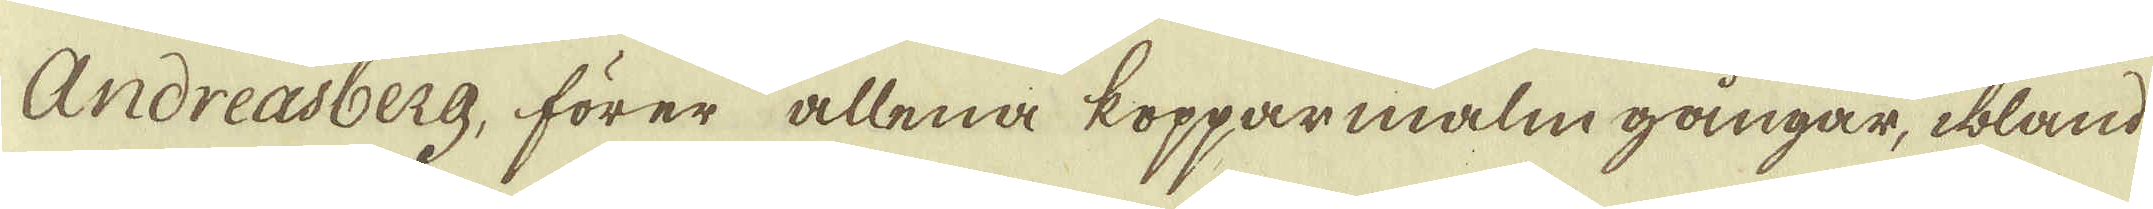Andreasberg, förer allena kopparmalmgångar, ibland
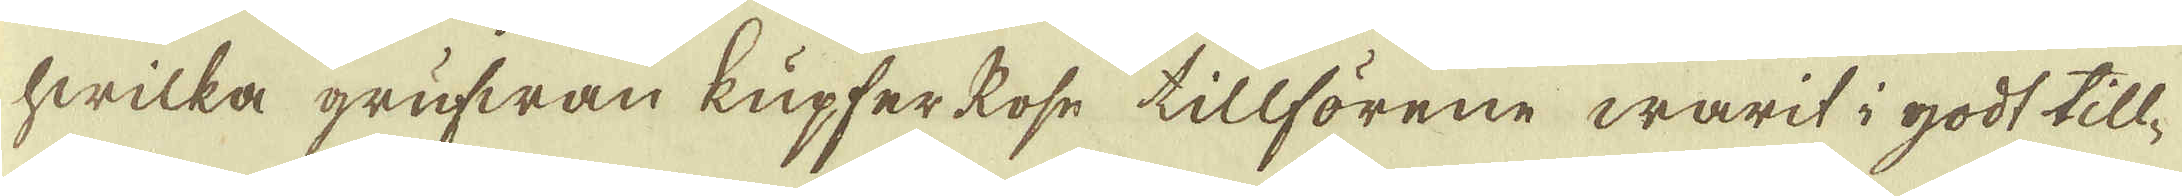hwilka grufwan kupfer kose tillförene warit i godt till-
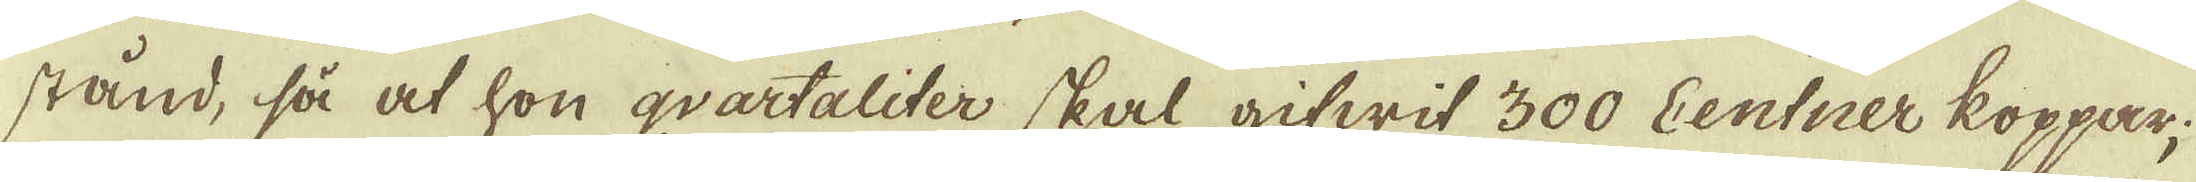stånd, så at hon qvartaliter skal gifwit 300 Centner koppar;
